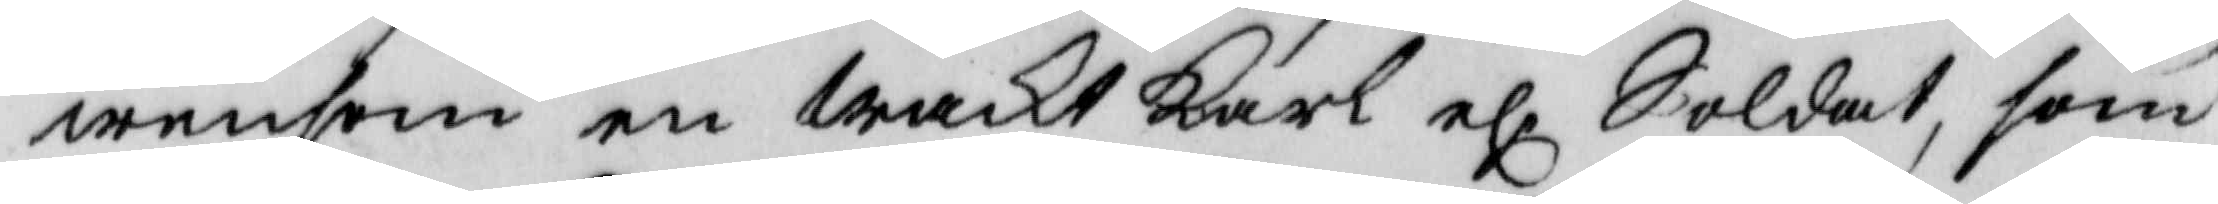wensom en waktkarl el Soldat, som
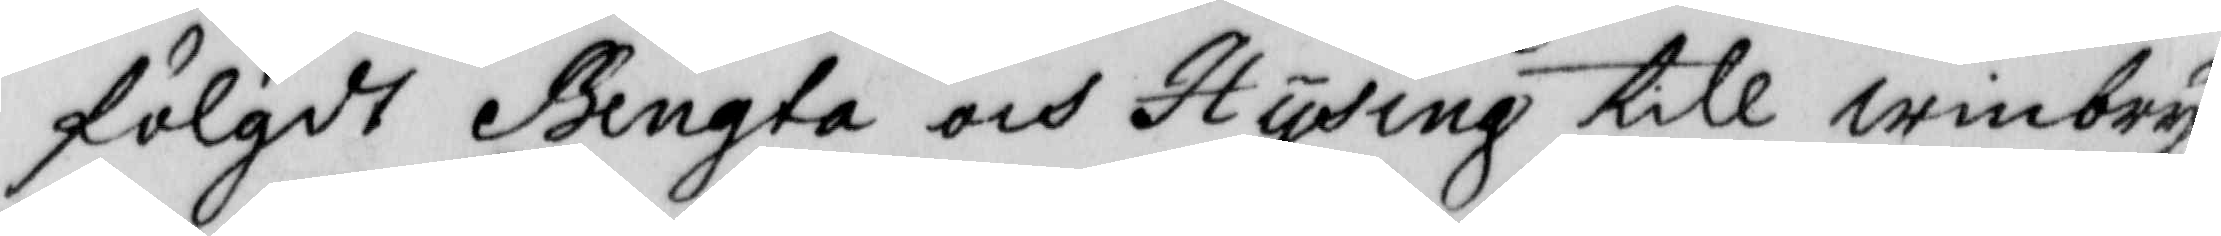fölgdt Bengta och Hysing till winbryg¬
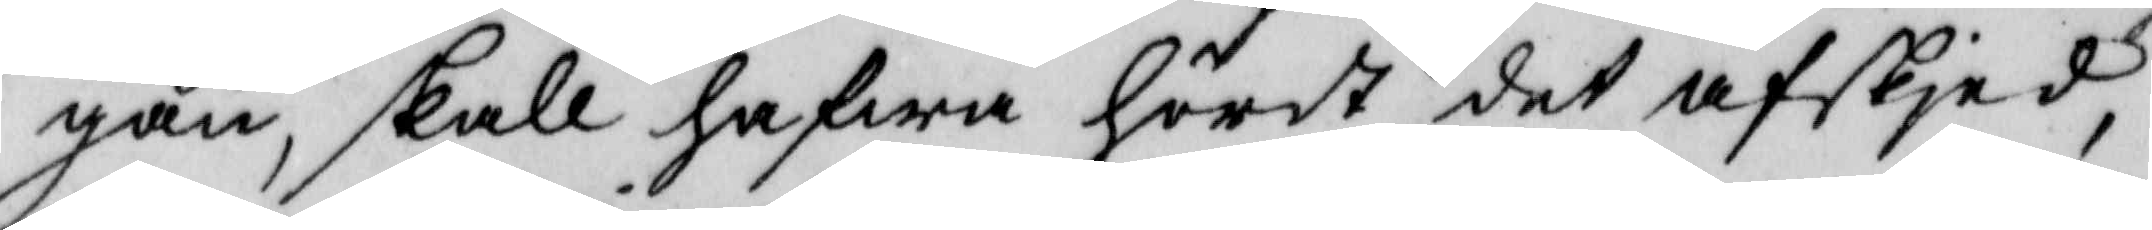gan, skall hafwa hördt det afskjed
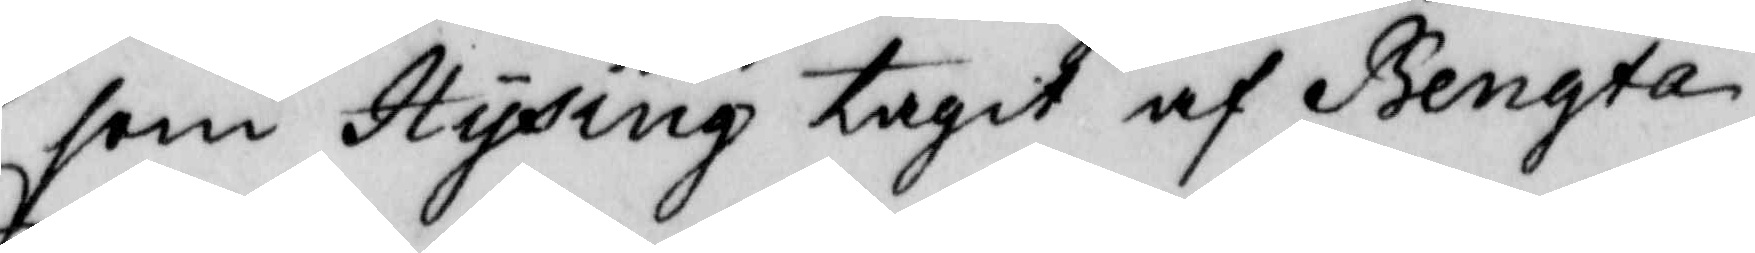som Hysing tagit af Bengta.
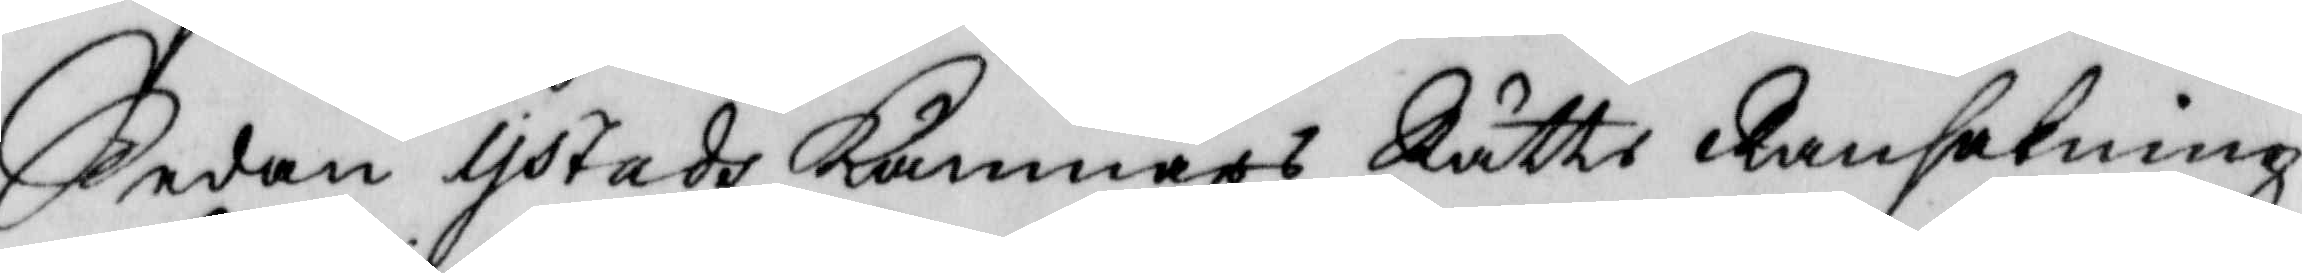Sedan Ystads Kämnärs Rätts Ransakning
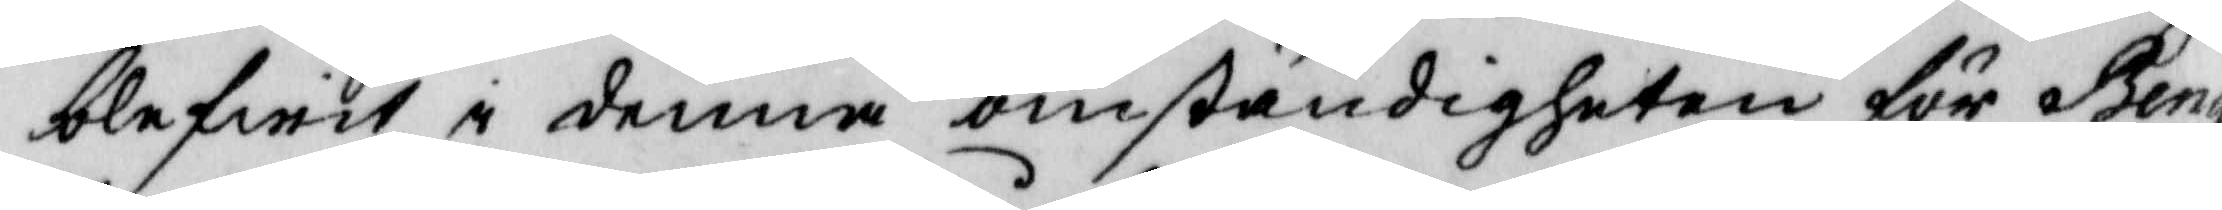blifwit i denna omständigheten för Beng¬
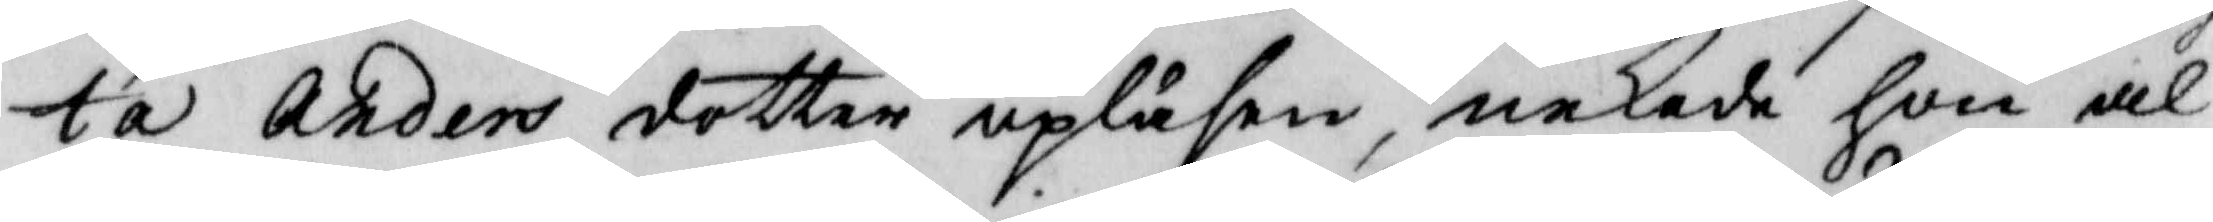ta Anders dotter upläsen, nekade hon al¬
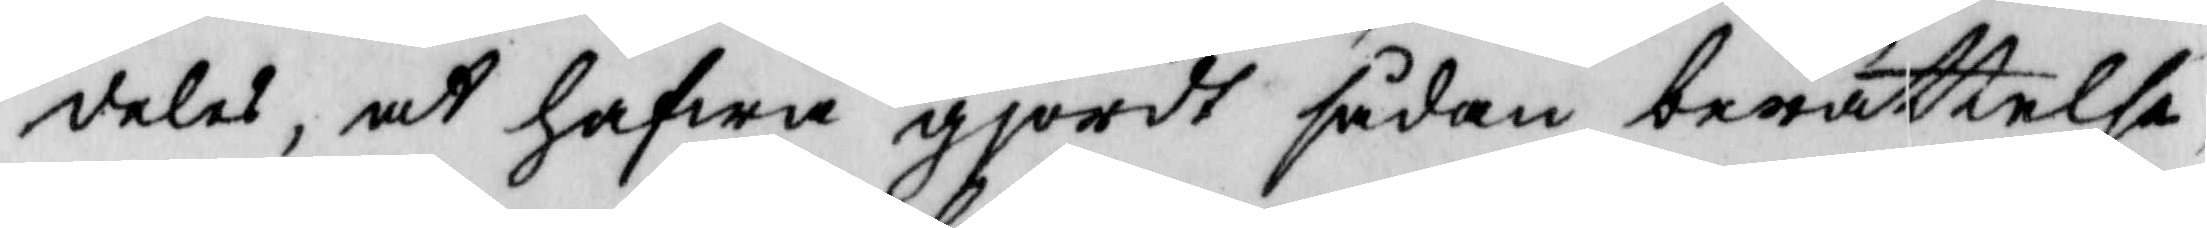deles, at hafwa gjordt sådan berättelse,
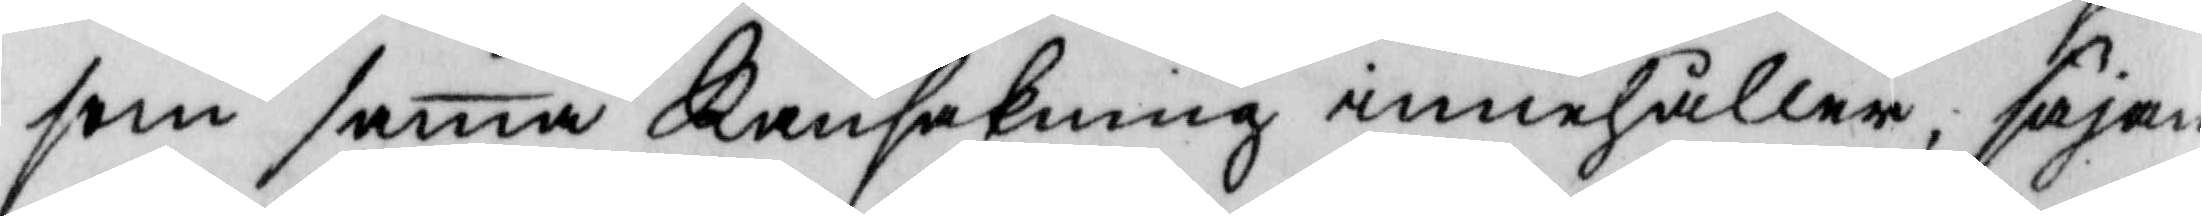som samma Ransakning innehåller, säjan¬
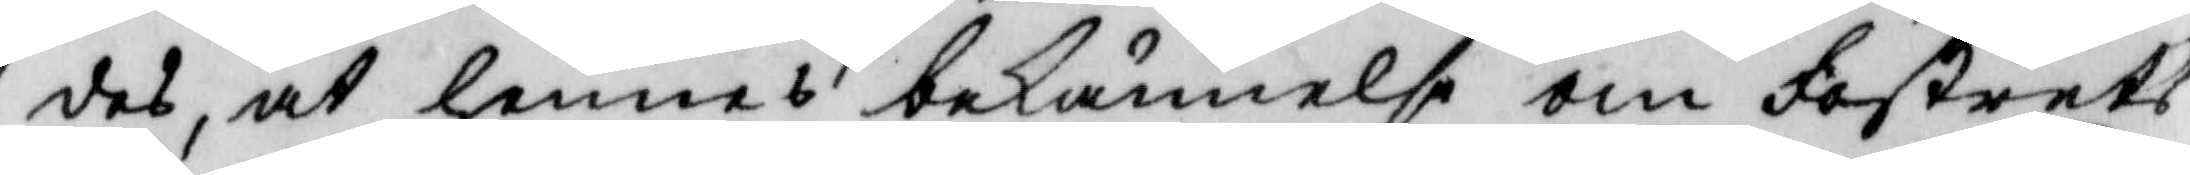des, at hennes bekännelse om fostrets
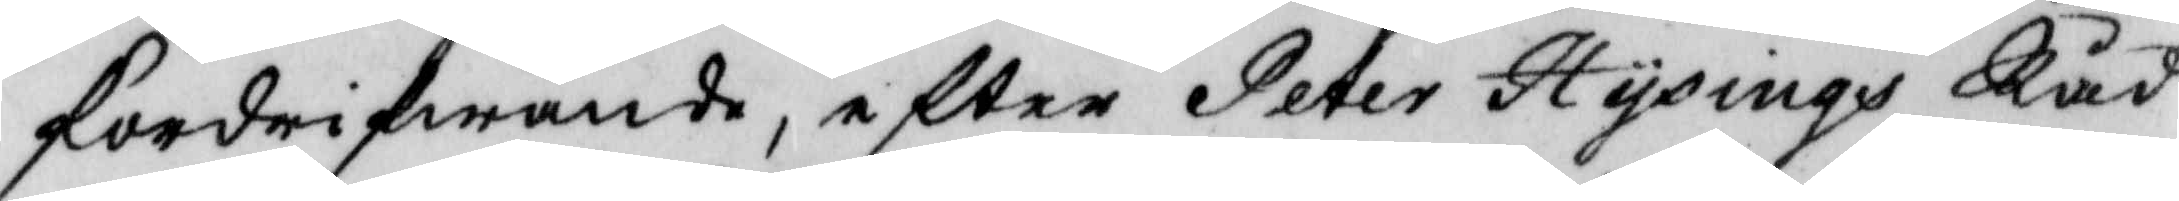fördrivande, efter Peter Hysings Råd
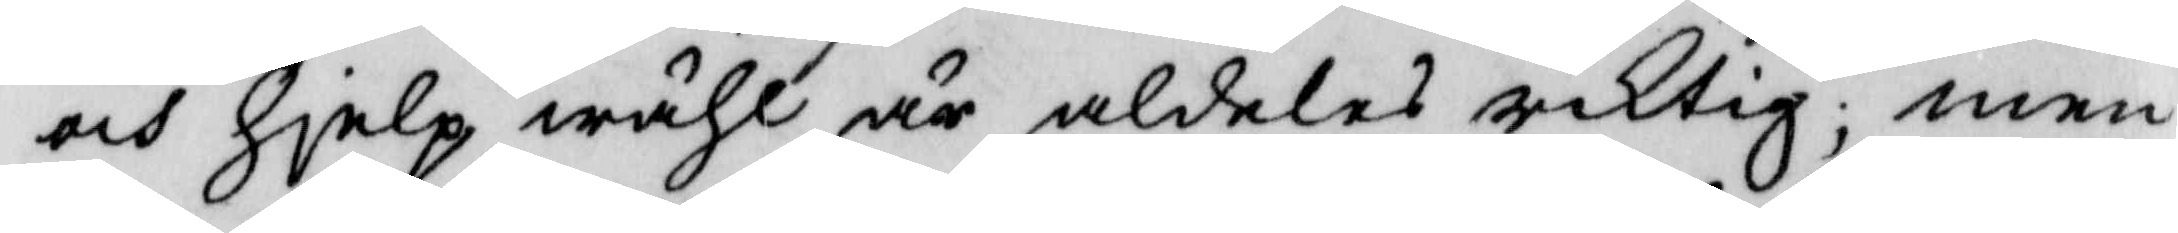och hjelp, wähl är aldeles riktig; men
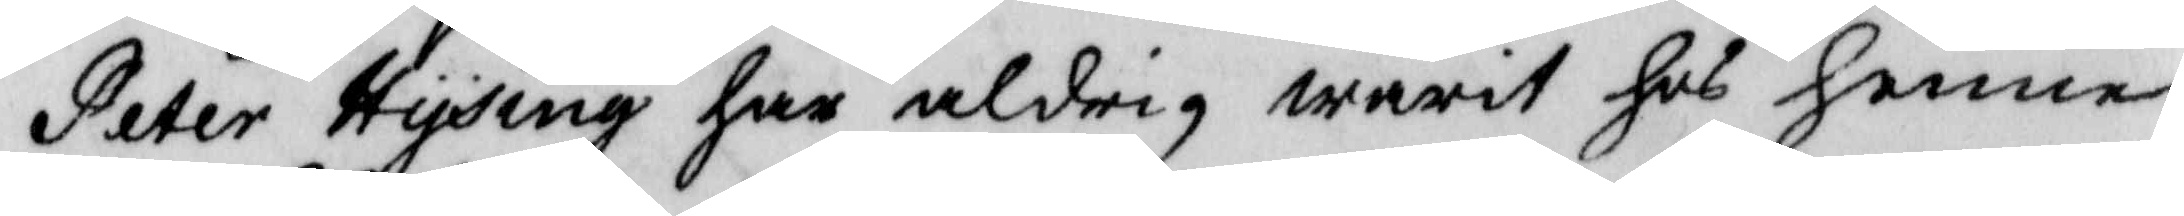Peter Hysing har aldrig warit hos henne
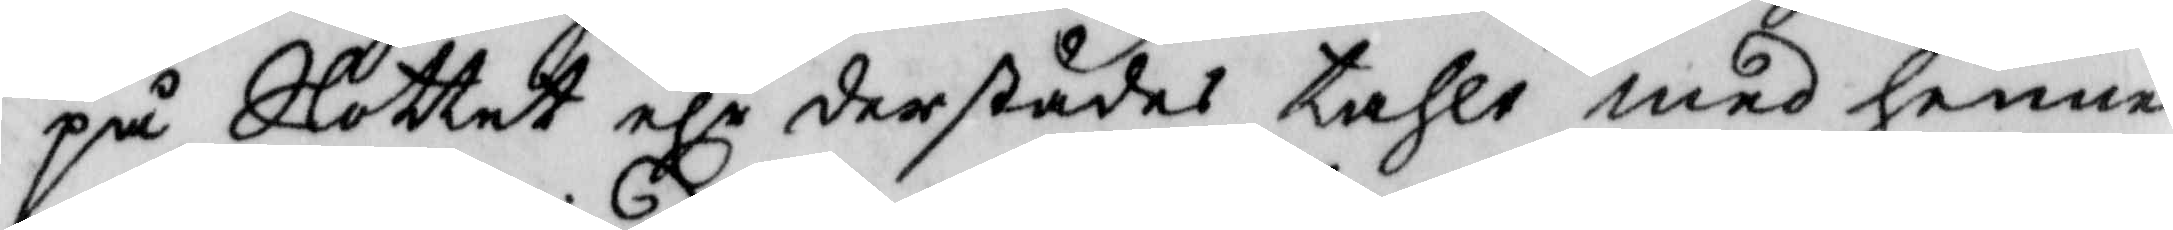på Slottet elr derstädes tahlt med henne
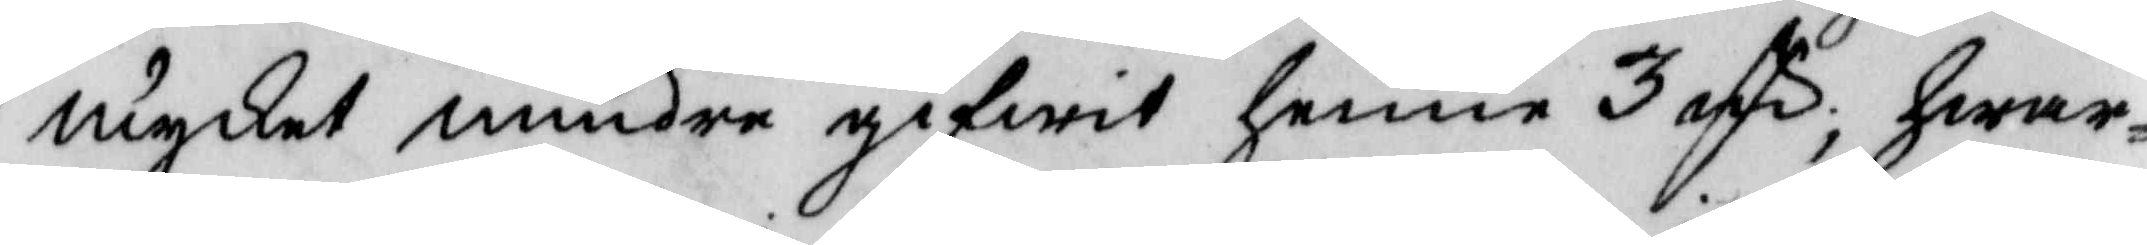mycket mindre gifwit henne 3 off, hwar¬
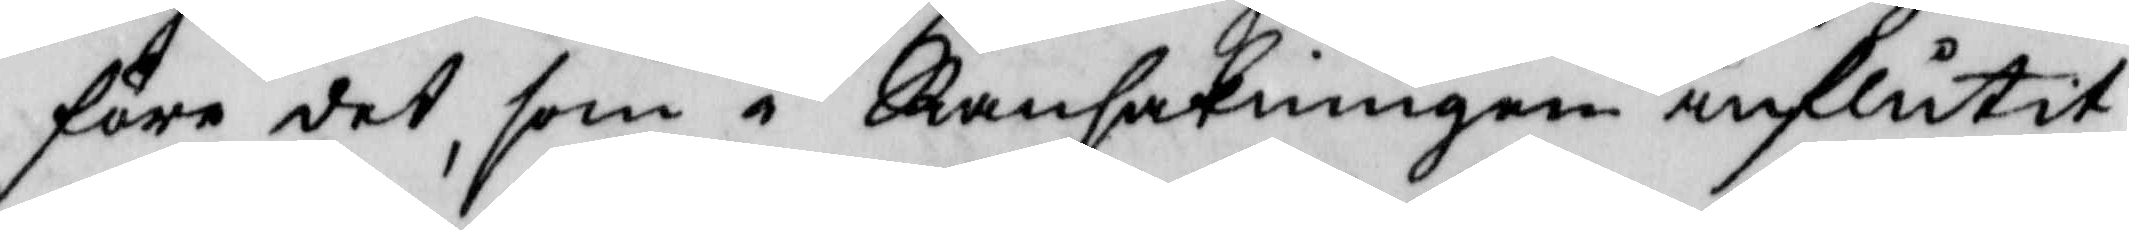före det, som i Ransakningen influtit,
